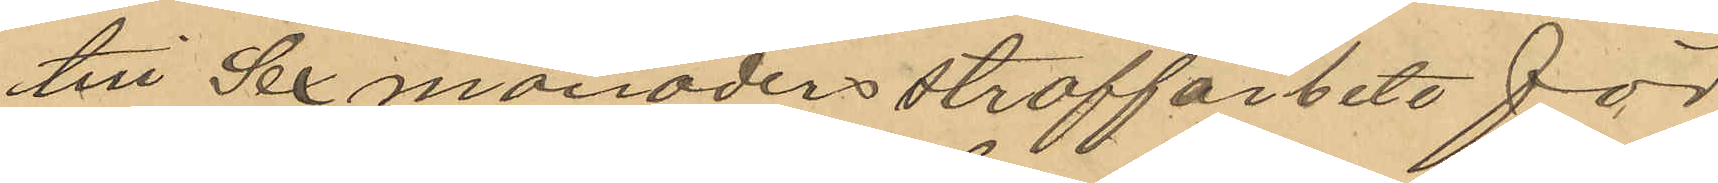till Sex månaders straffarbete för
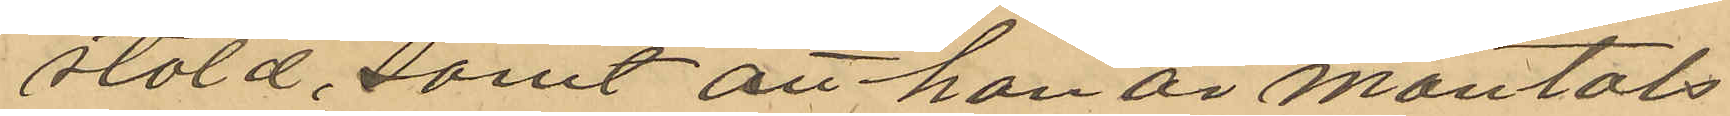stöld, samt att han är mantals
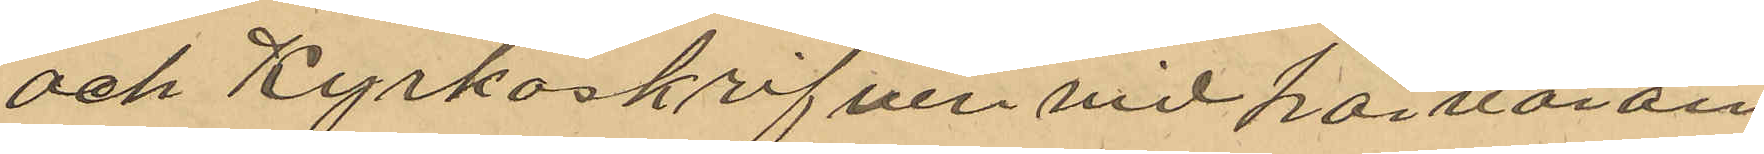och Kyrkoskrifven vid härvaran¬
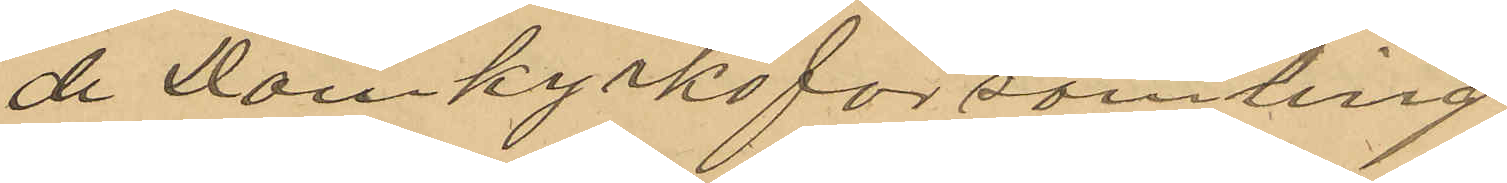de Domkyrkoförsamling
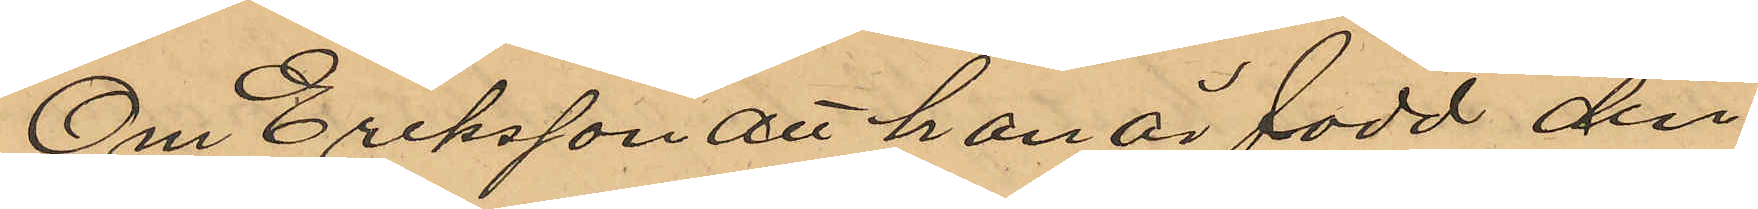Om Eriksson att han är född den
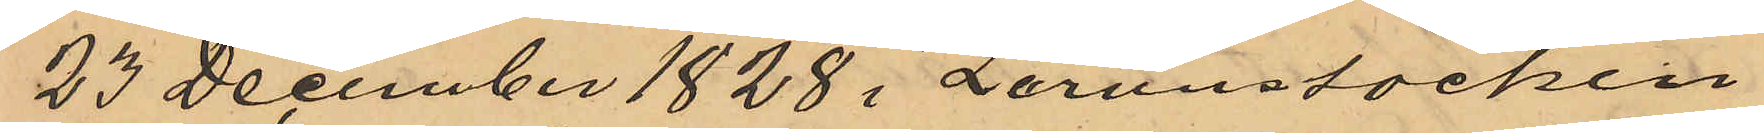23 December 1828 i Lerum socken
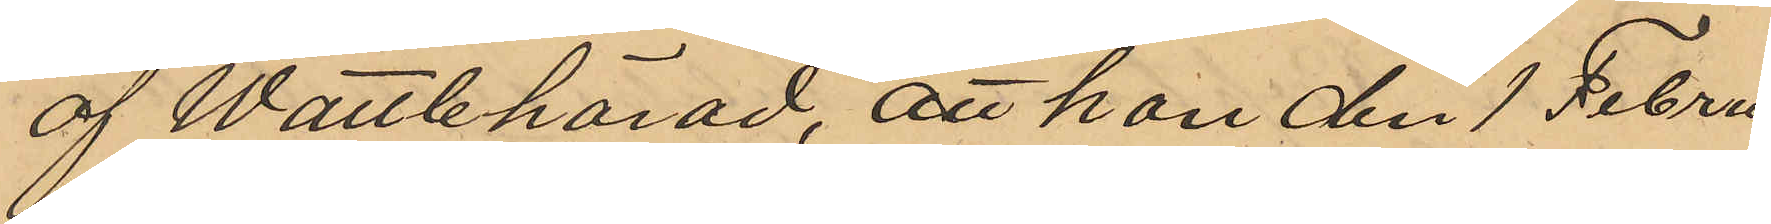af Wättle härad, att han den 1 Febru¬
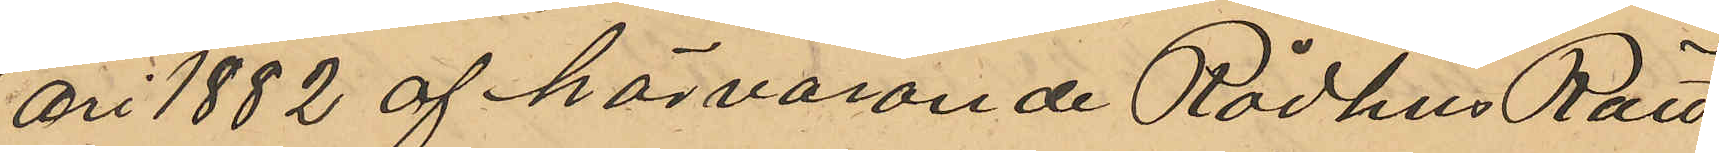ari 1882 af härvarande Rådhus Rätt
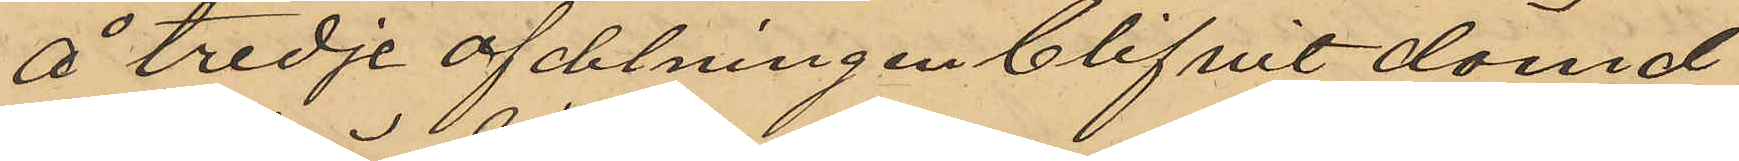å tredje afdelningen blifvit dömd
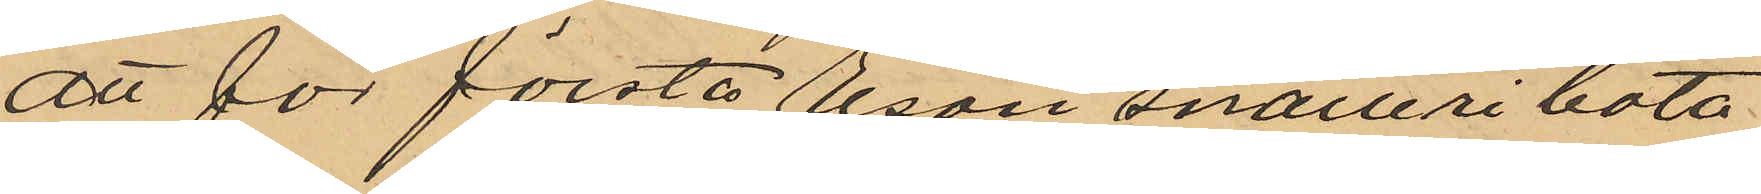att för första resan snatteri böta
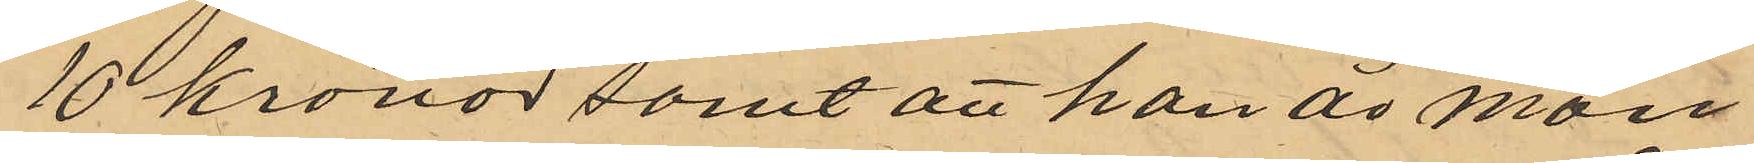10 kronor samt att han är man¬
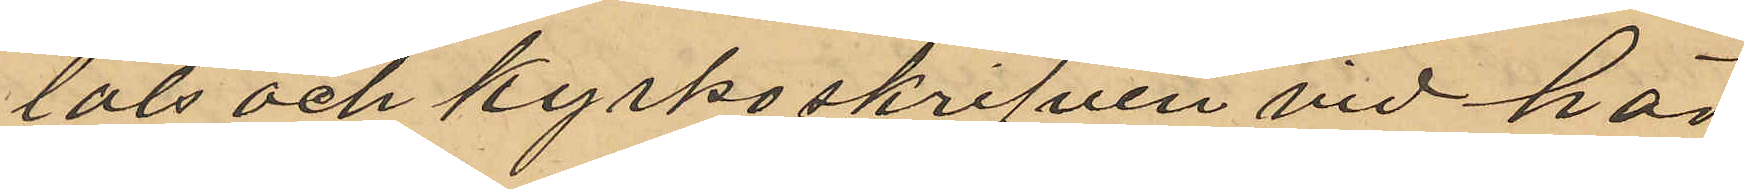tals och kyrkoskrifven vid här¬
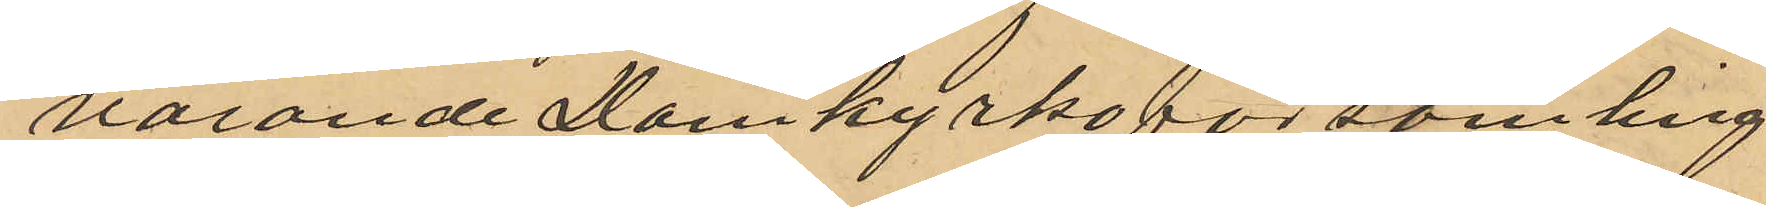varande Domkyrkoförsamling
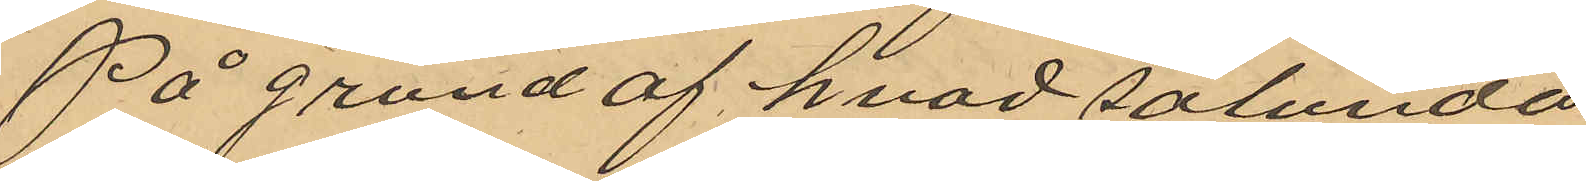På grund af hvad sålunda
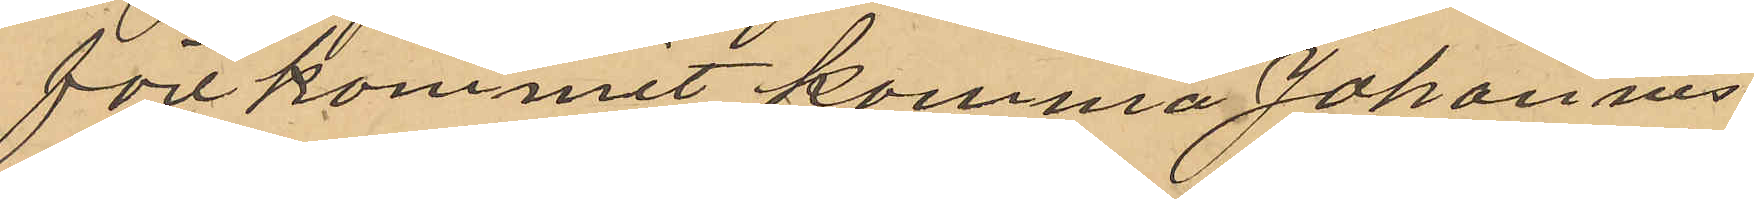förekommit komma Johannes
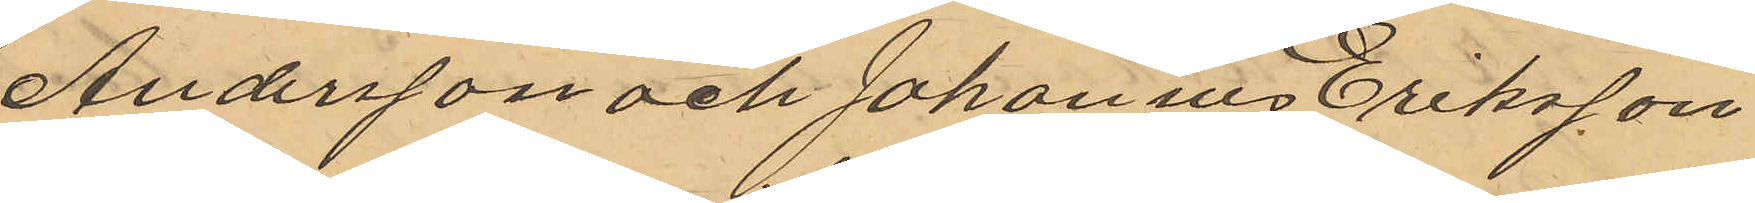Andersson och Johannes Eriksson
